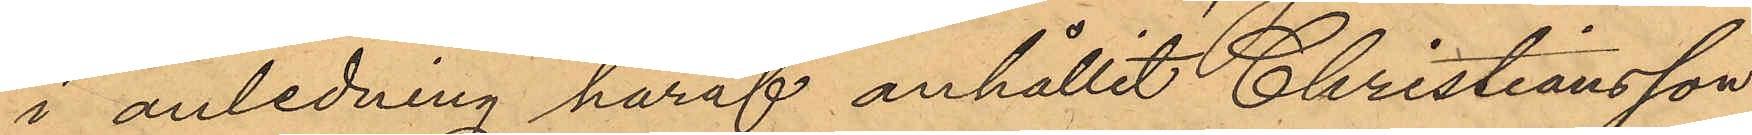i anledning häraf anhållit Christiansson;
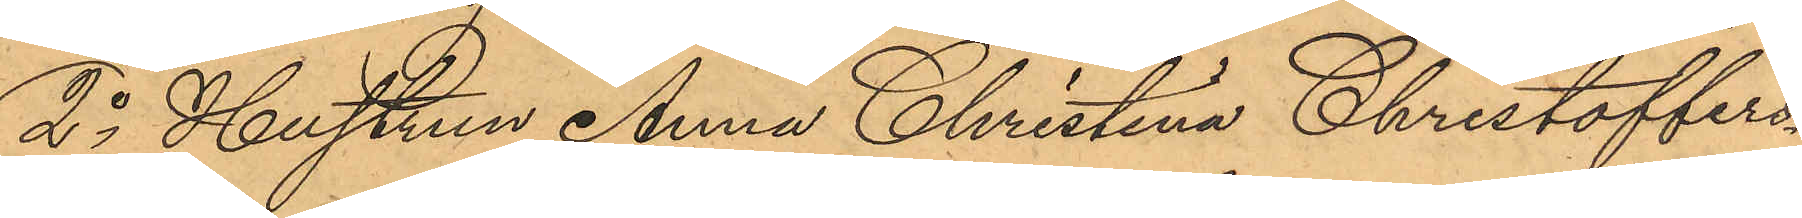2o Hustrun Anna Christina Christoffers¬
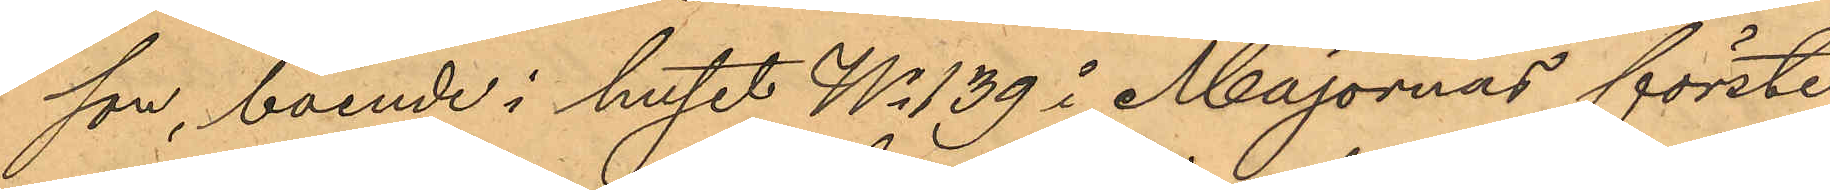son, boende i huset No 139 i Majornas förste
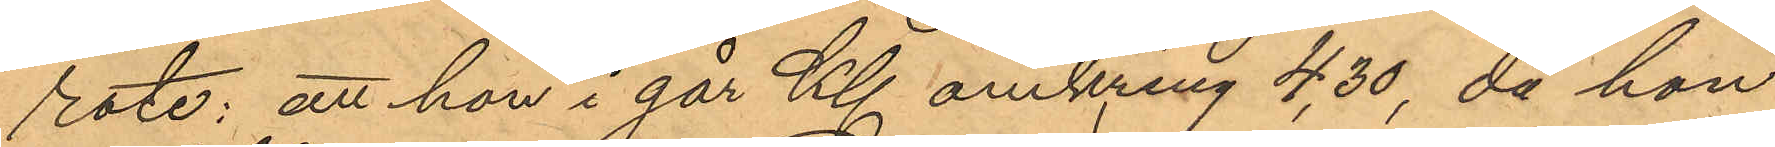rote; att hon i går Kl. omkring 4,30, då hon
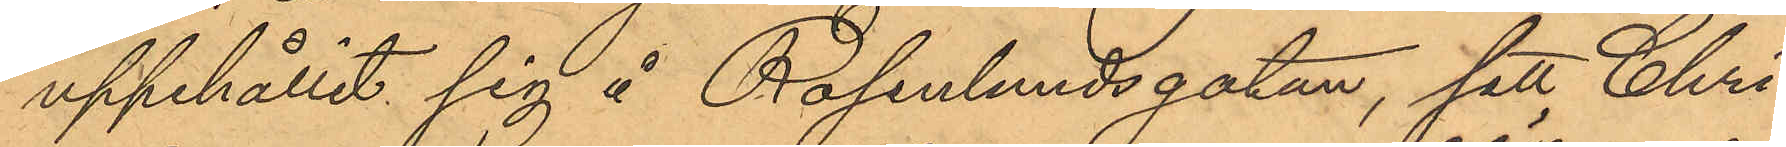uppehållit sig å Rosenlundsgatan, sett Chri¬
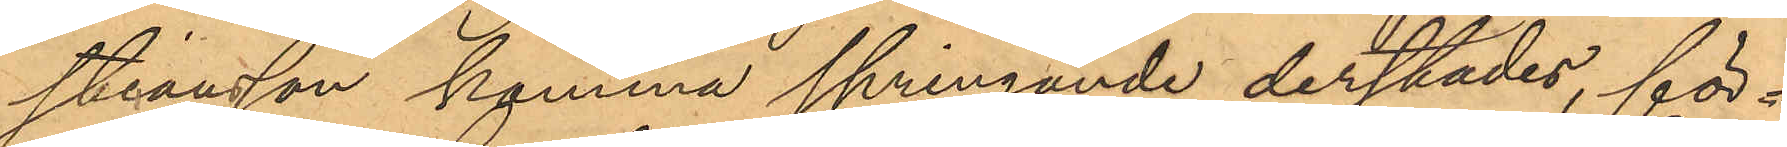stiansson komma springande derstädes, för¬
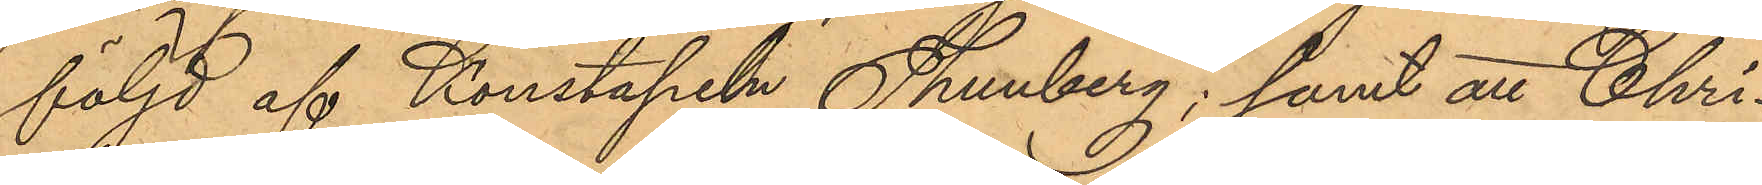följd af Konstapeln Thunberg; samt att Chri¬
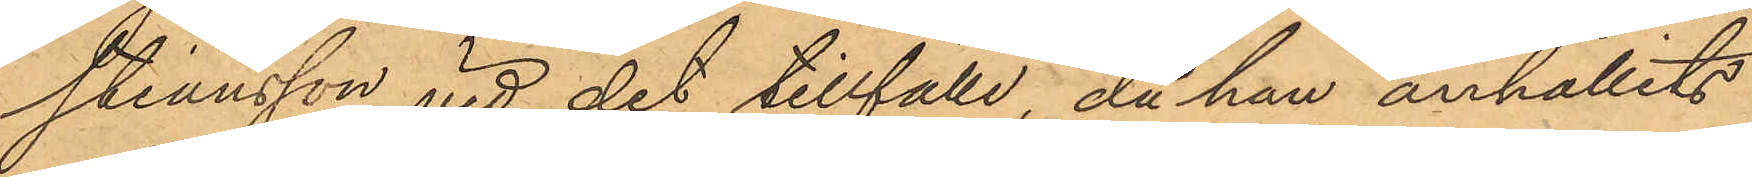stiansson vid det tillfälle, då han anhållits
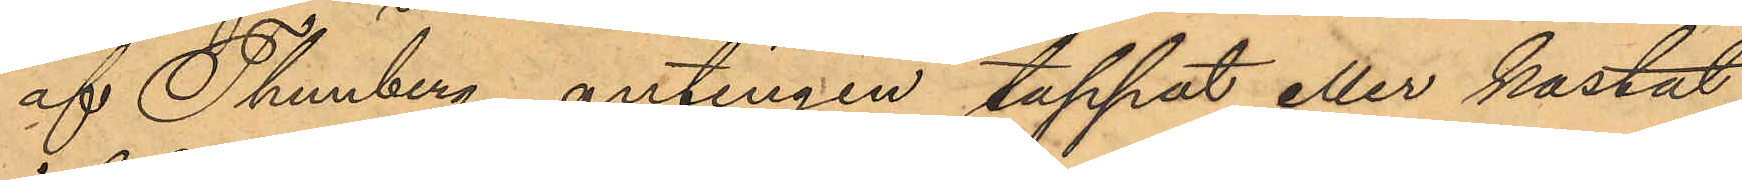af Thunberg, antingen tappat eller kastat
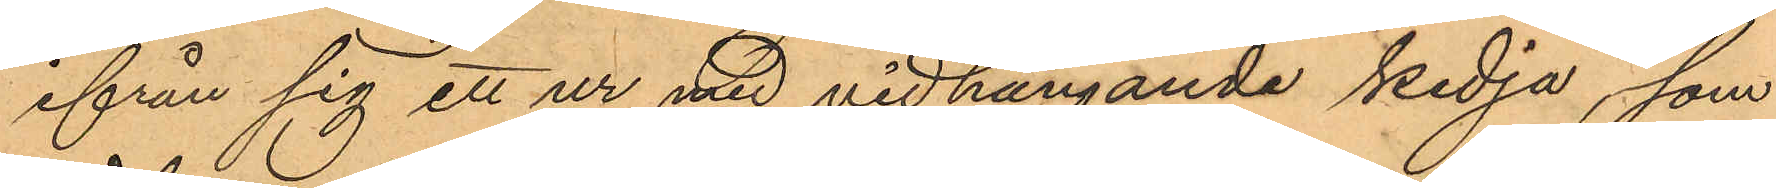ifrån sig ett ur med vidhängande kedja, som
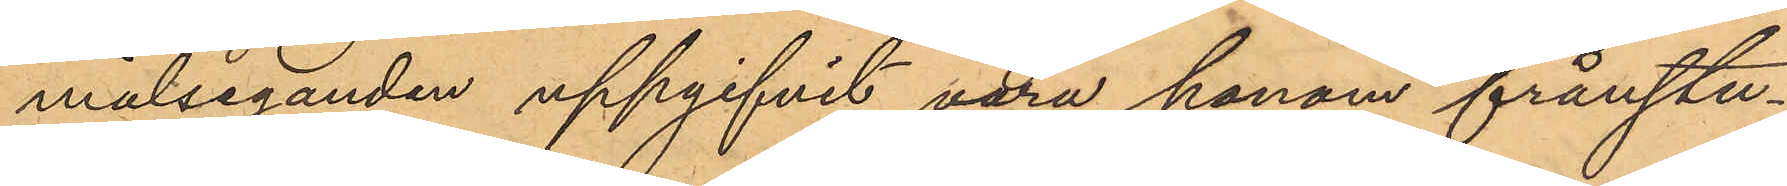målseganden uppgifvit vara honom frånstu¬
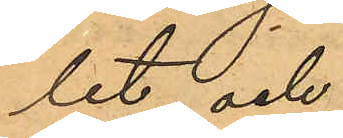let och
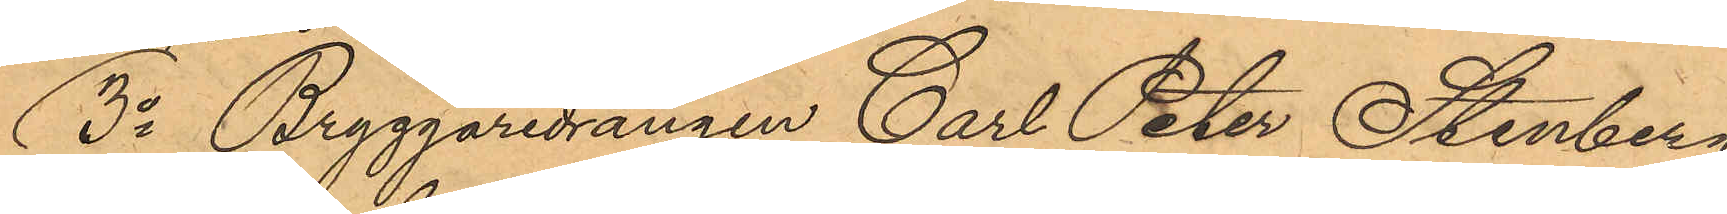3o Bryggaredrängen Carl Peter Stenberg
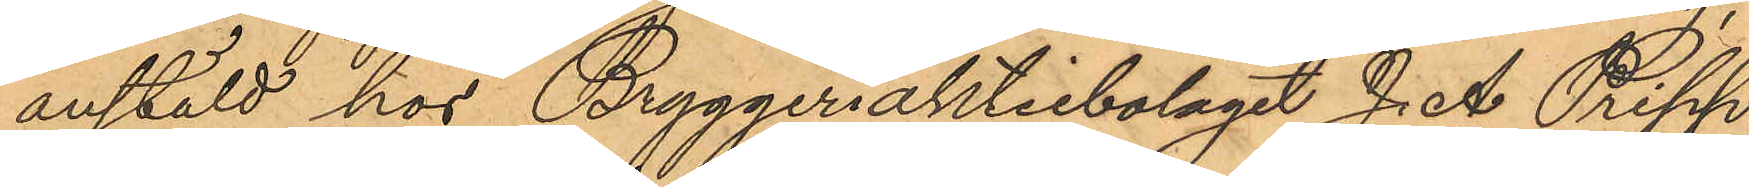anstäldt hos Bryggeriaktiebolaget J. A. Pripp¬
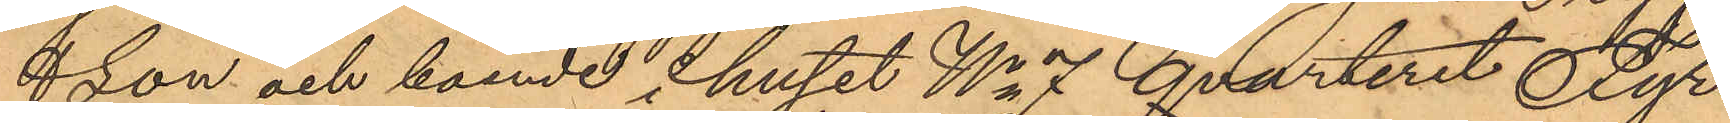&son och boende i huset No 7 Qvarteret Fyr¬
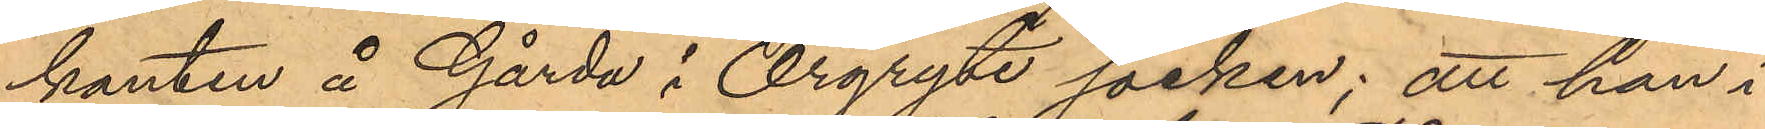kanten å Gårda i Örgryte socken; att han i
